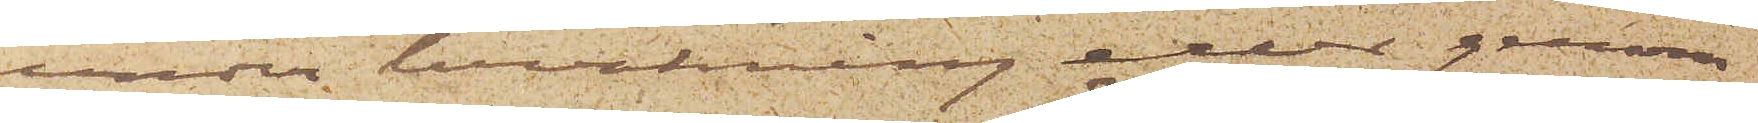under bevakning eller genom
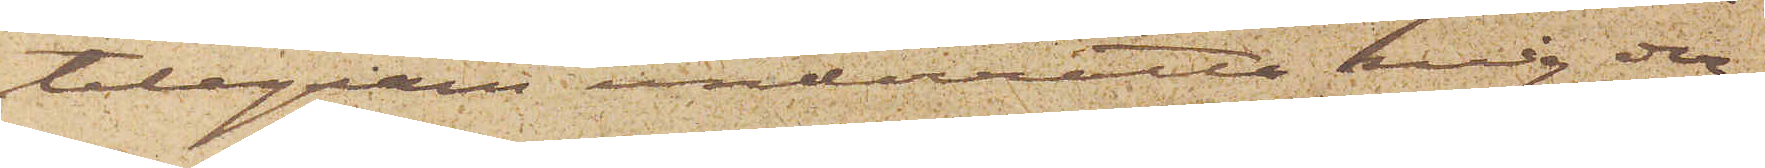telegram underrätta mig der¬
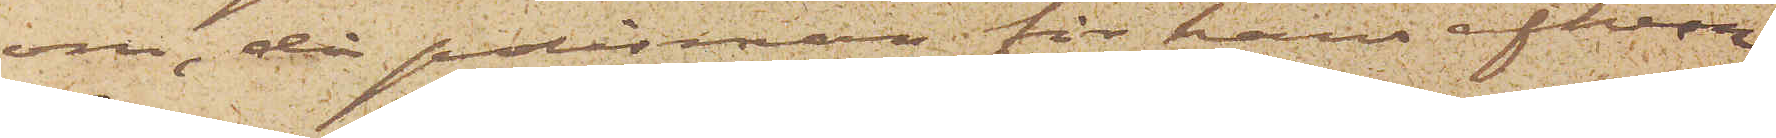om, då polisman för hans afhem¬
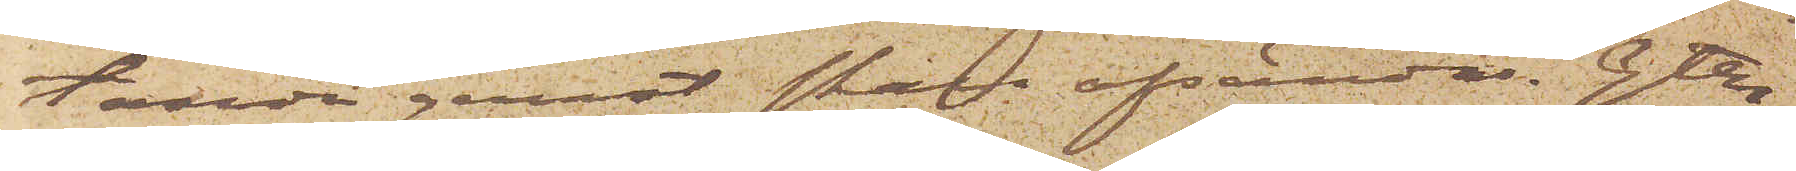tande genast skall afsändas. Gtbg
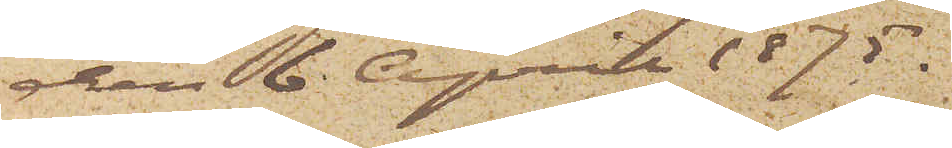den 6 April 1875.
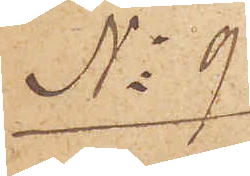No 9.
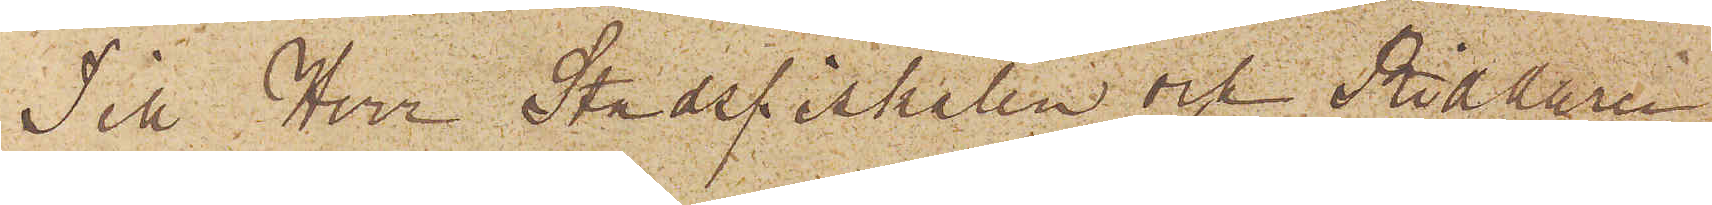Till Herr Stadsfiskalen och Riddaren
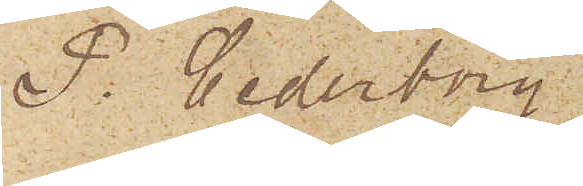P. Cederborg.
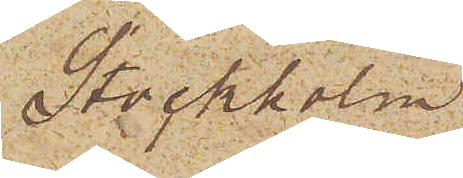Stockholm.
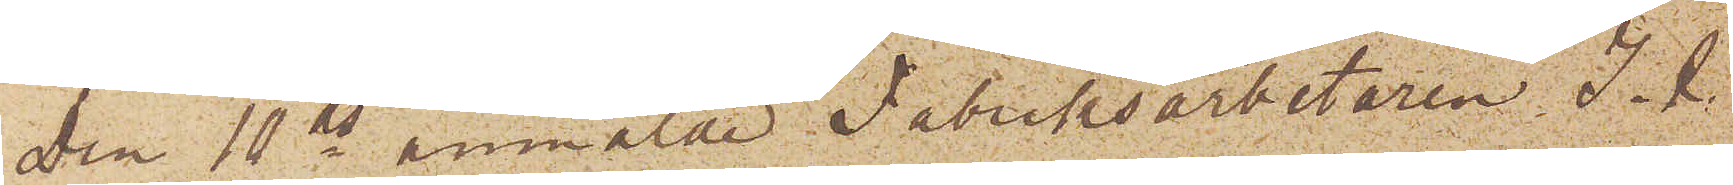Den 10 ds anmälde Fabriksarbetaren J. R.
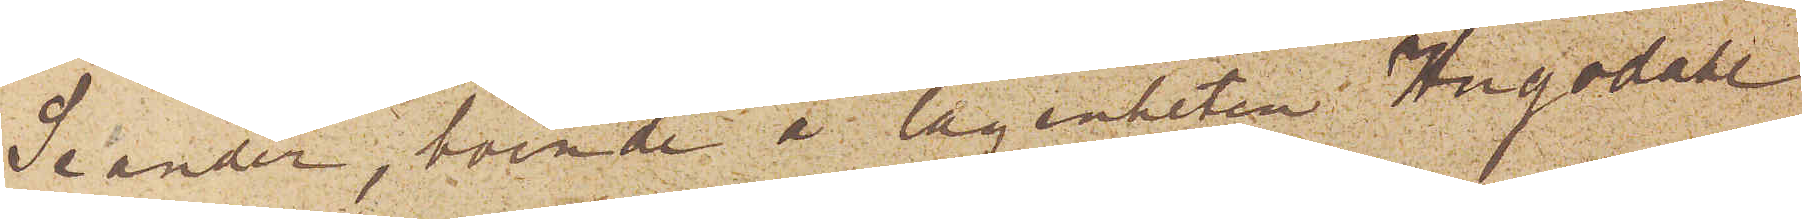Seander, boende å lägenheten i Hugodahl
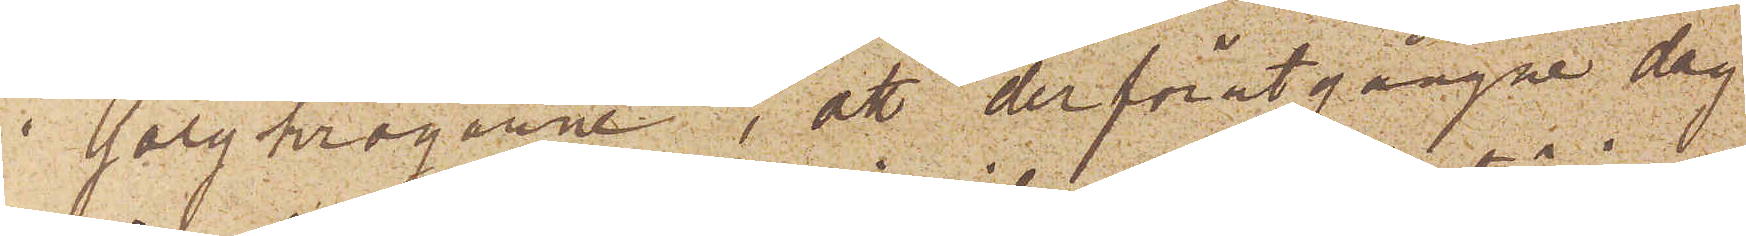i Galgkrogarne, att derförutgångne dag
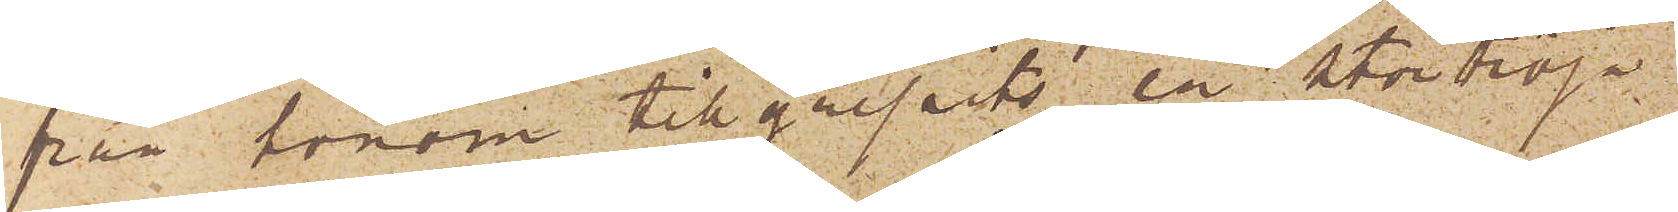från honom tillgripits en stortröja
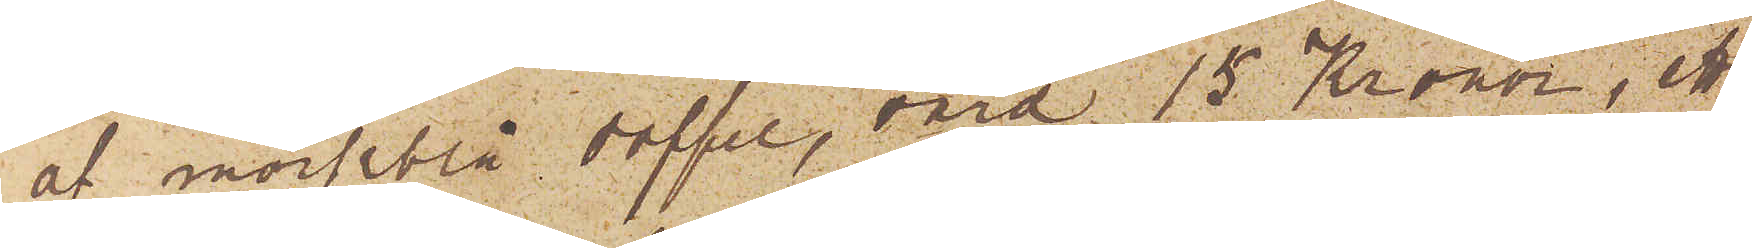af mörkblå doffel, värd 15 Kronor, ett
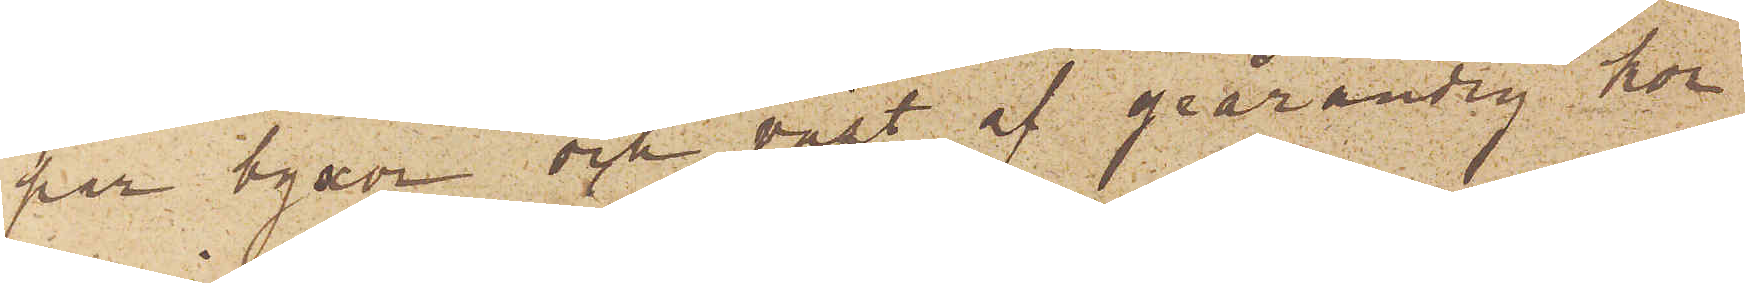par byxor och väst af grårandig kor¬
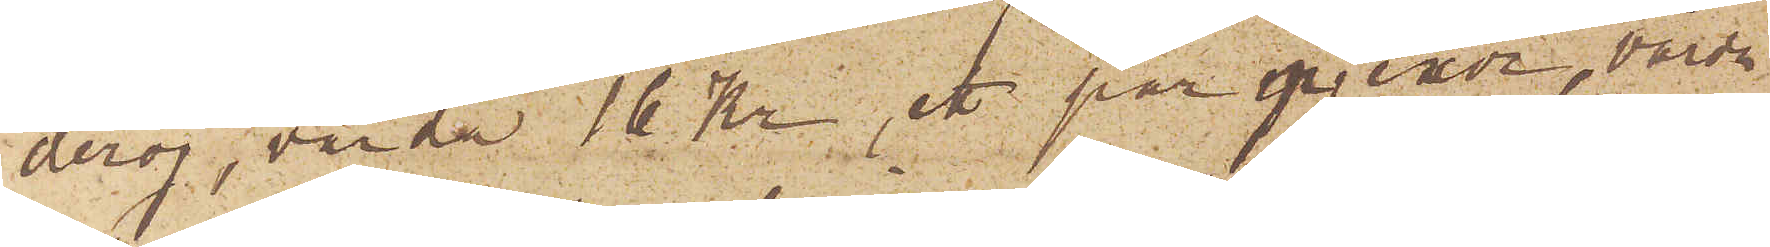deroj, värda 16 Kr, ett par pjexor, värda
